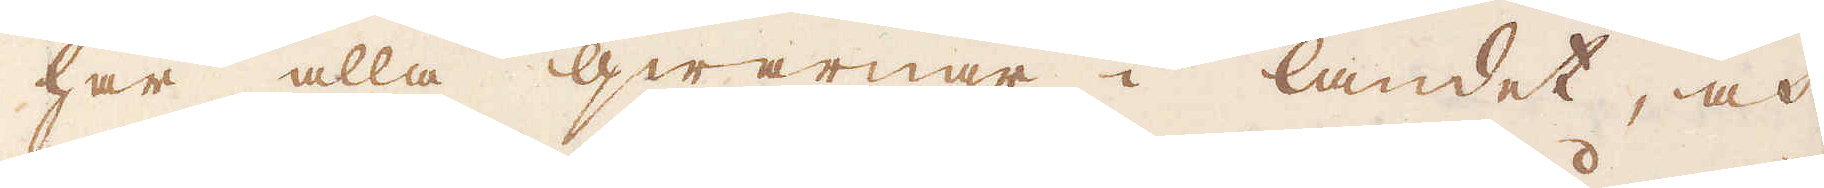har alla qwarnar i landet, och
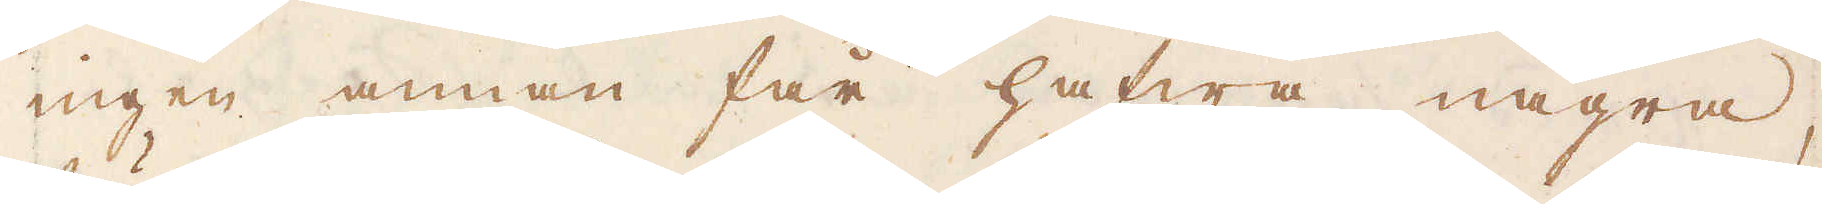ingen annan får hafwa några,
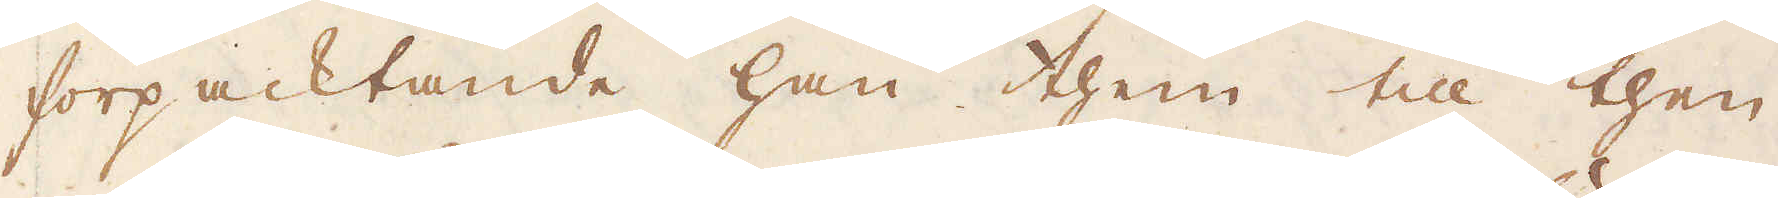förpacktande han them till then
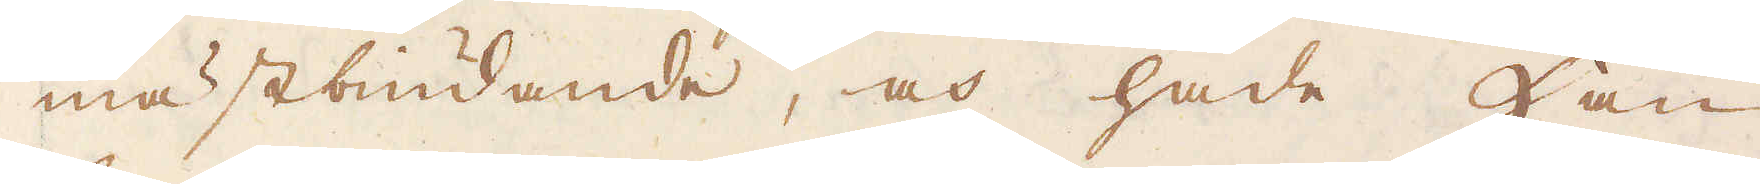mästbindande, och hade Han
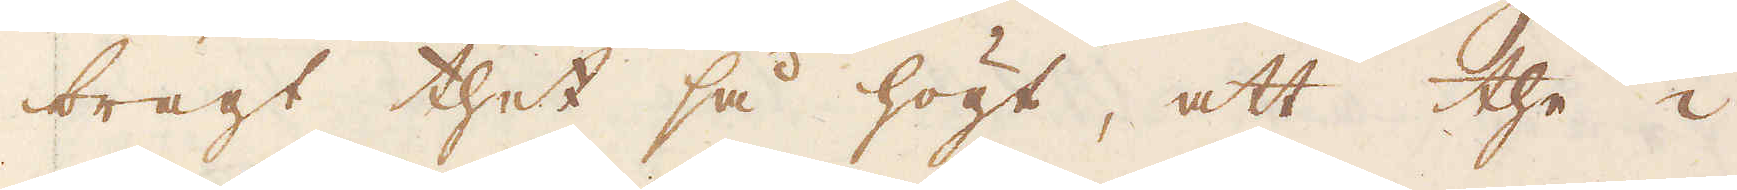bragt thet så högt, att the i
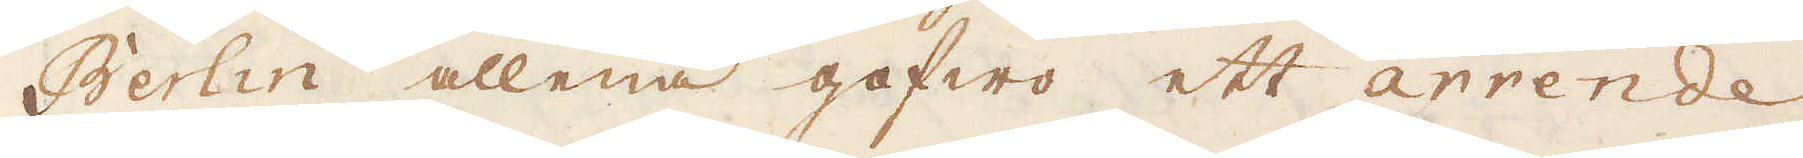Berlin allena gofwo ett arrende
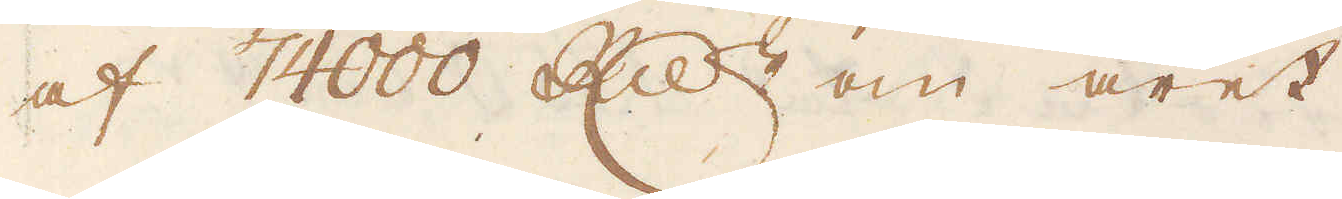af 14000 R:d om året.
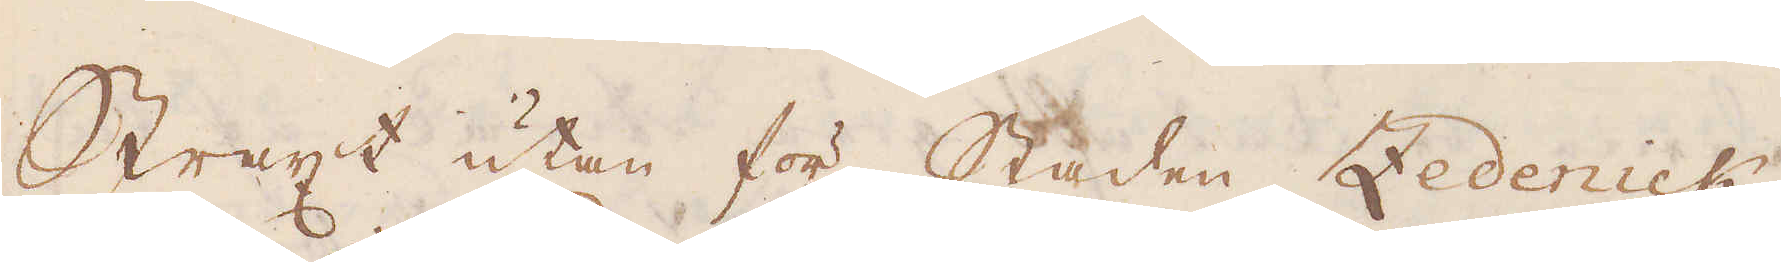Straxt utan för Staden Zedenick
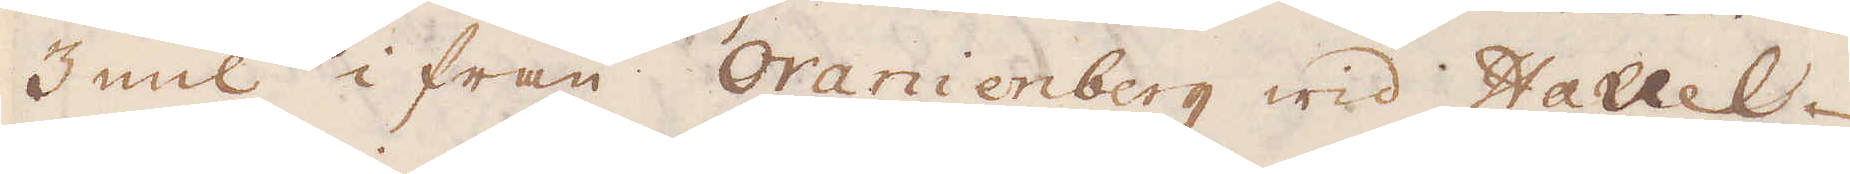3 mil i från Oranienberg wid Havel-
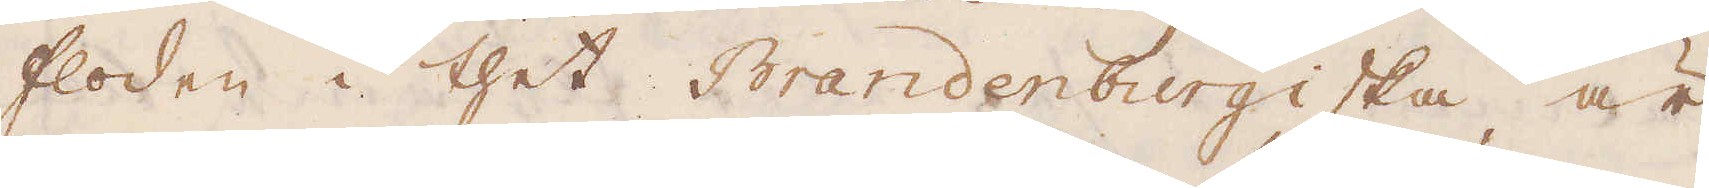floden i thet Brandenburgiska är
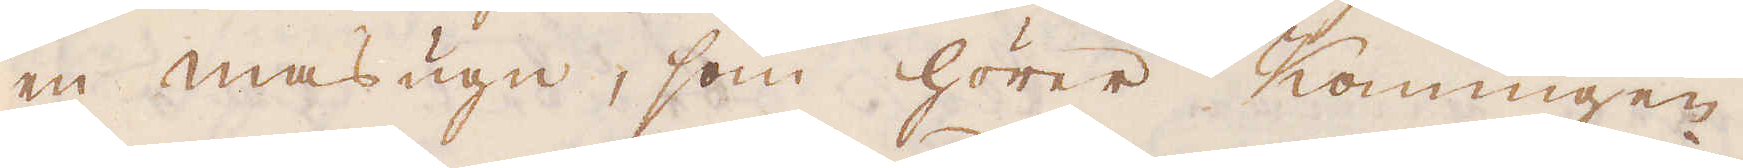en masugn, som hörer Konungen
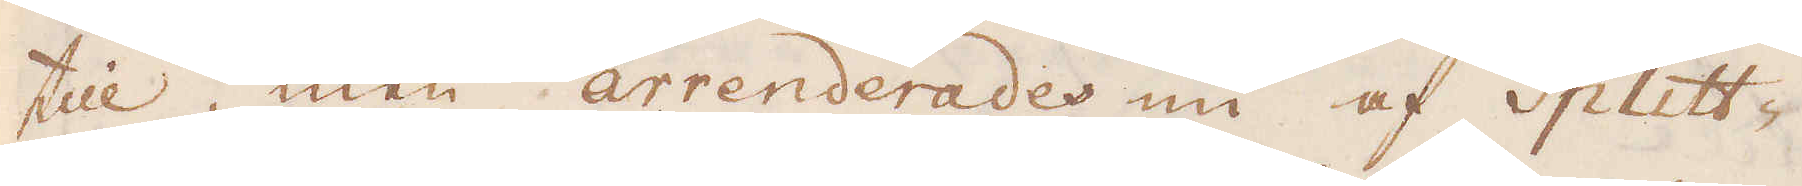till, men arrenderades nu af Splitt-
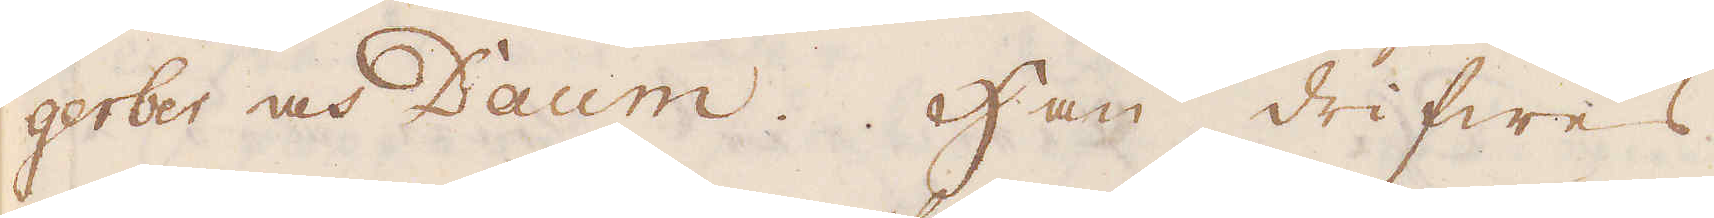gerber as Daum. Han drifwes
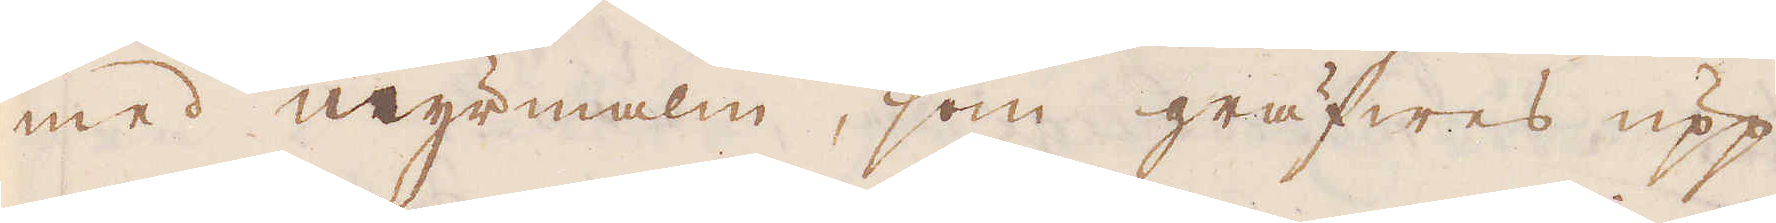med myrmalm, som gräfwes upp
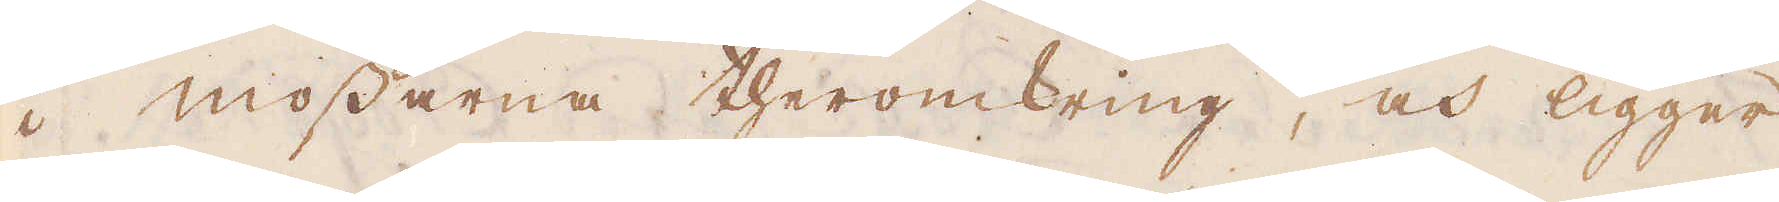i mossarna theromkring, och ligger
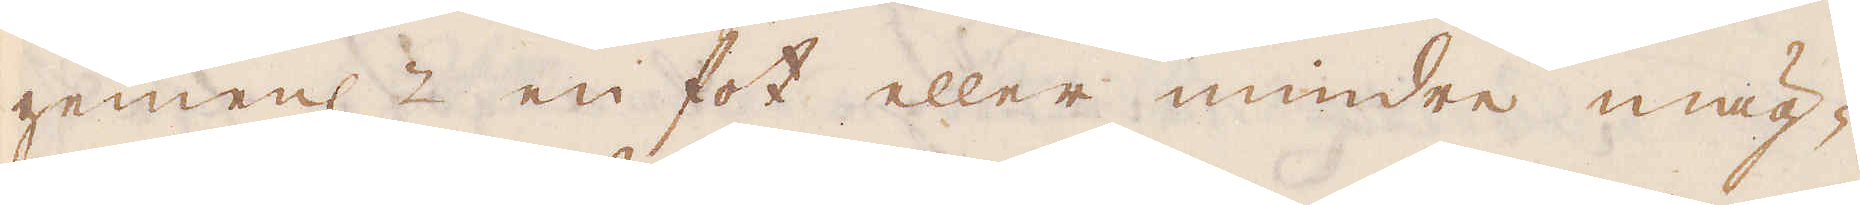gemenl: en fot eller mindre mäg-
